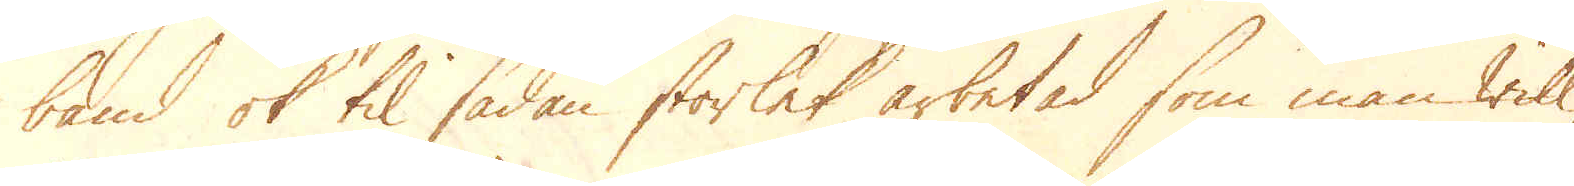band ok til sådan storlek arbetad som man will,
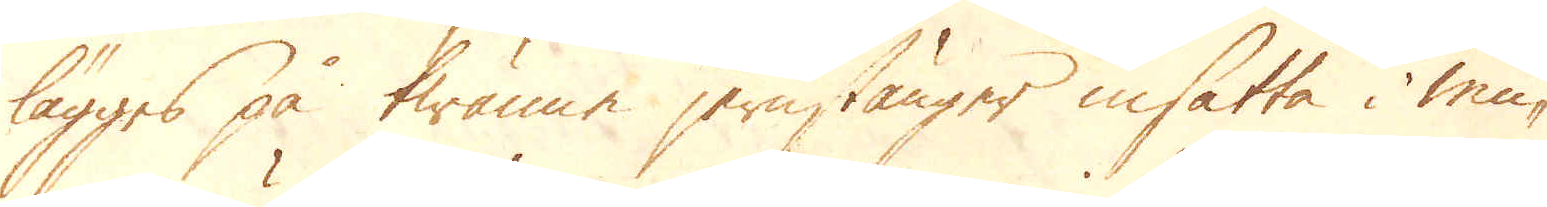lägges på twänne jernstänger insatta i mu-
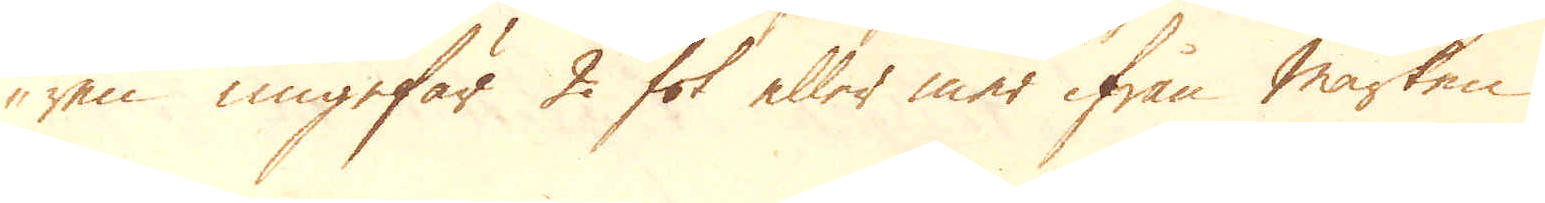ren ungefär 2 fot eller mer ifrån marken
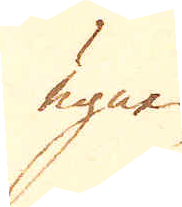ugnen
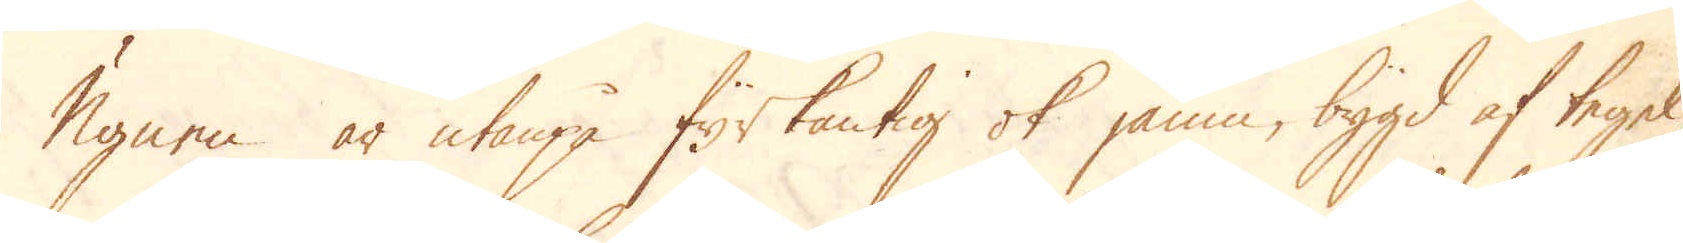Ugnen är utanpå fyrkantig ok jämn, bygd af tegel,
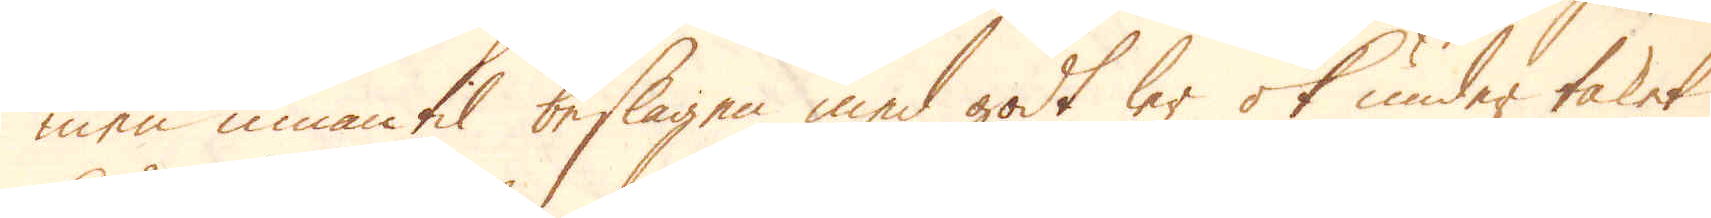men innantil beslagen med godt ler ok under taket
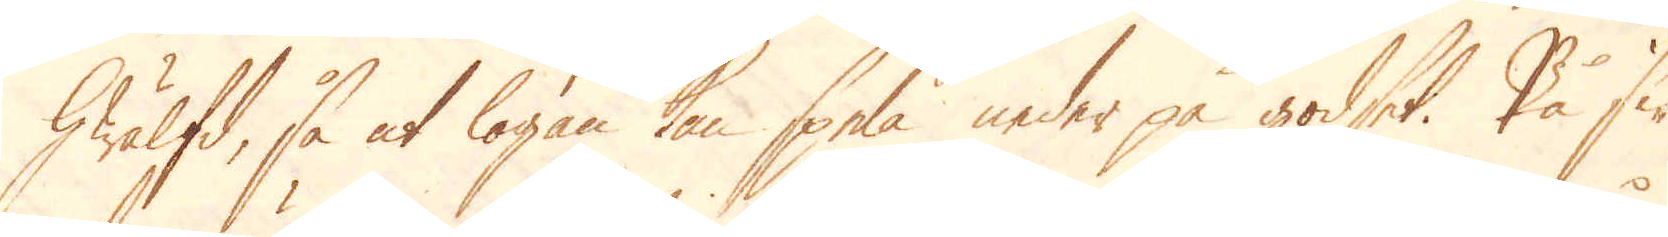hwälfd, så at logan kan spela under på godset. På si-
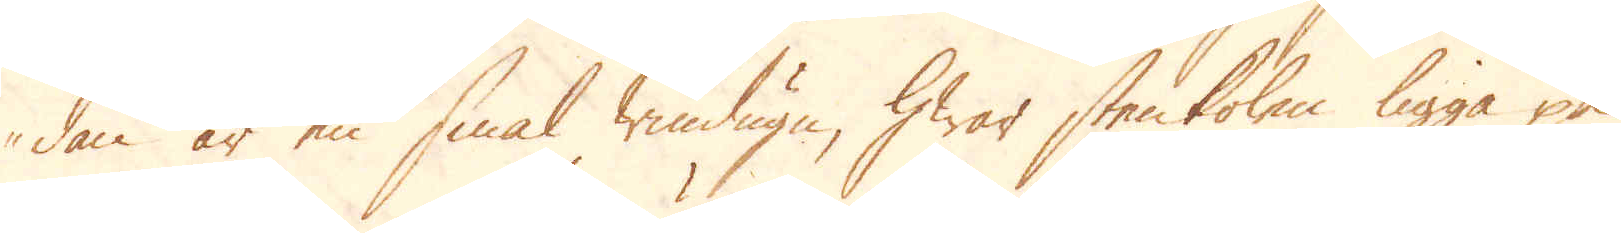dan är en smal windugn, hwar stenkolen ligga på
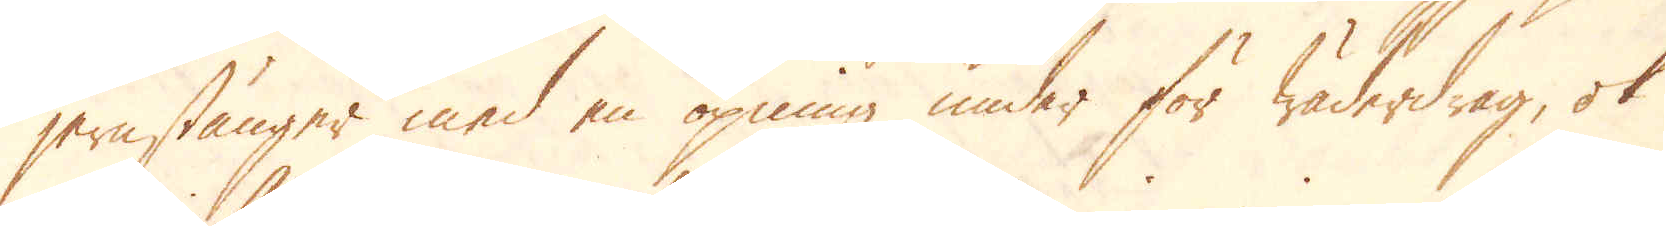jernstänger med en öpning under för wäderdrag, ok
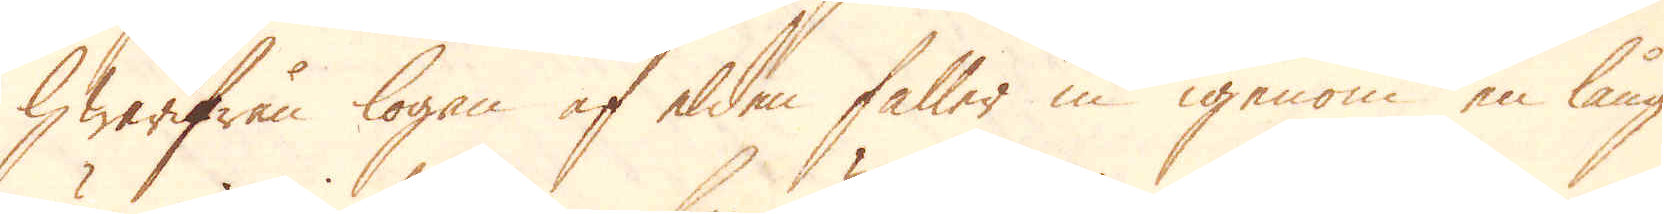hwarifrån logan af elden faller in igenom en lång
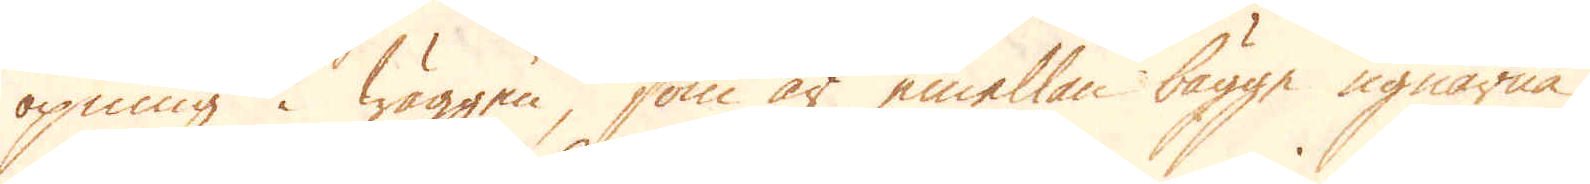öpning i wäggen, som är emellan bägge ugnarna,
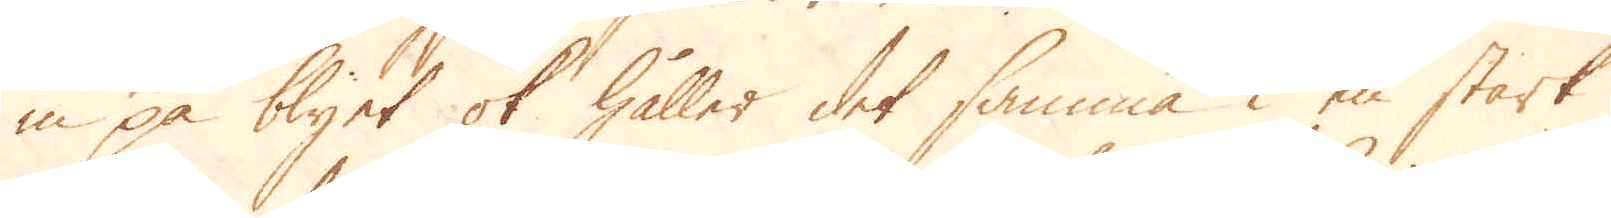in på blyet ok håller det samma i en stark
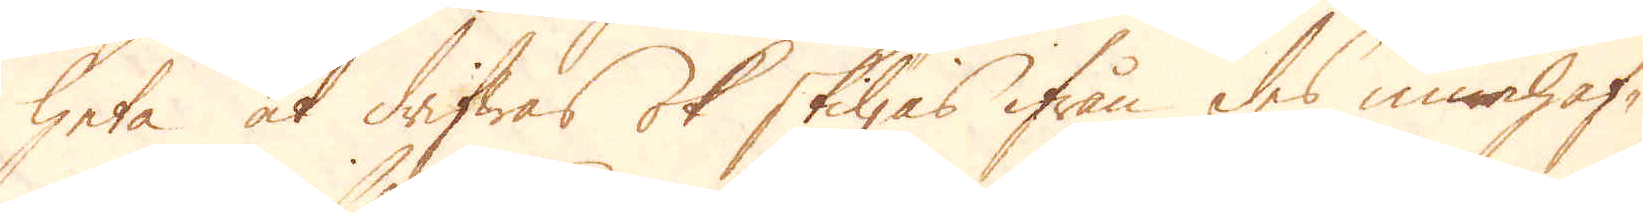heta at drifwas ok skiljas ifrån des innanhaf-
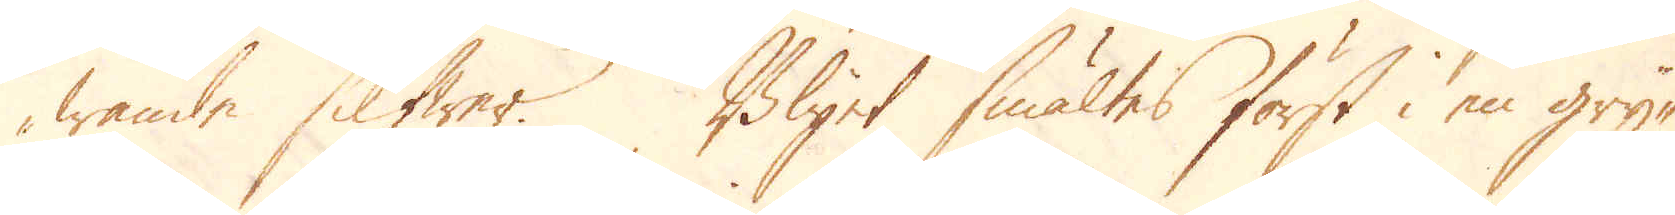wande silfwer. Blyet smältes först i en gry-
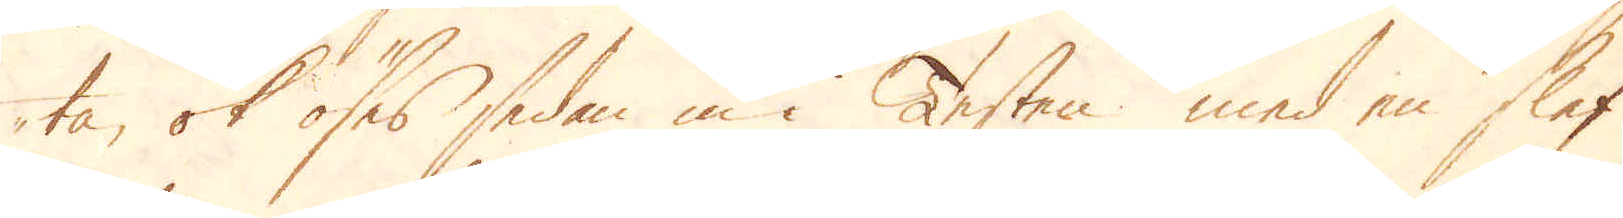ta, ok öses sedan in i Testen med en slef
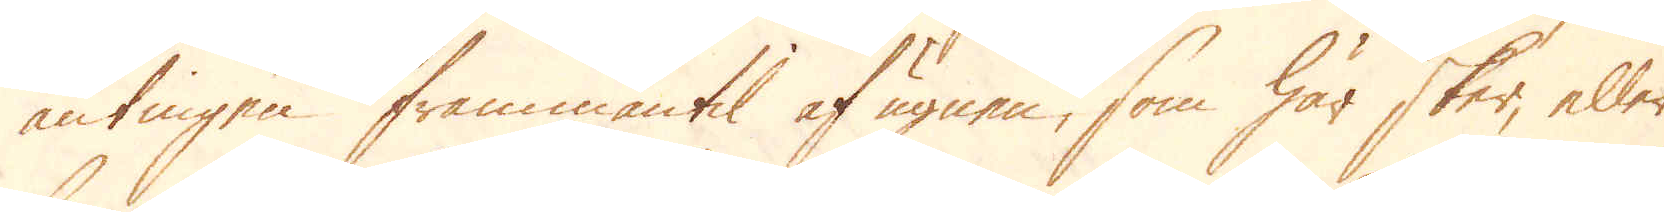antingen frammantil af ugnen, som här sker, eller
